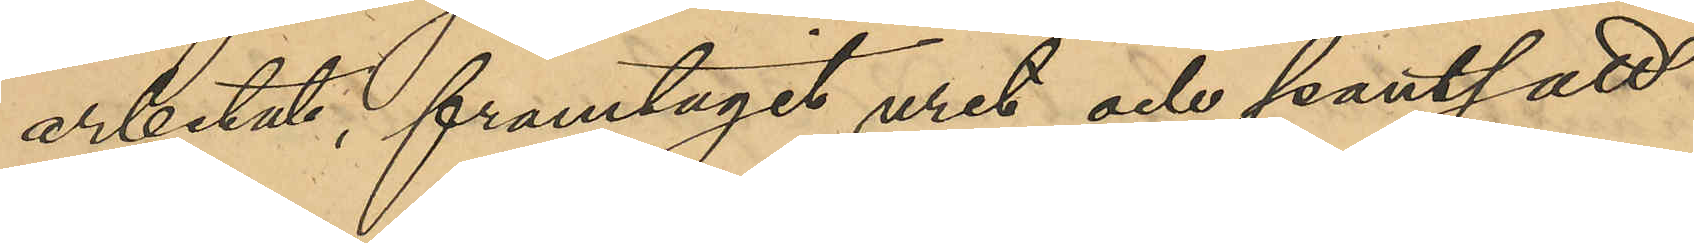arbetat, framtagit uret och pantsatt
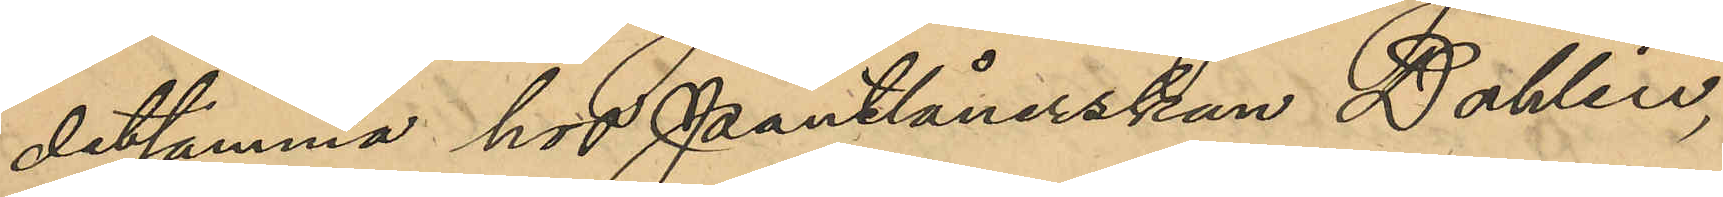detsamma hos Pantlånerskan Dahlin,
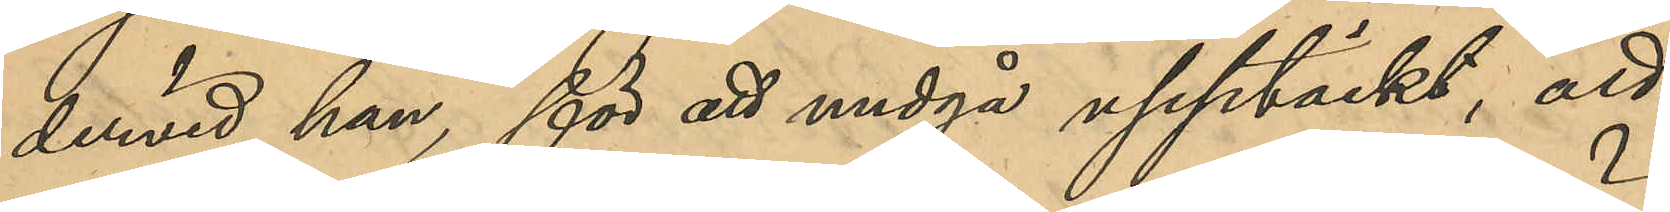dervid han, för att undgå upptäckt, att
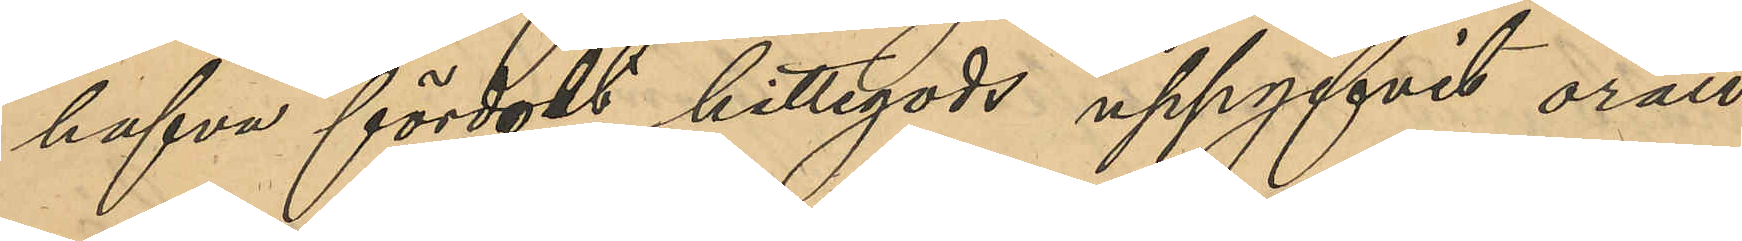hafva fördolt hittegods uppgifvit orätt
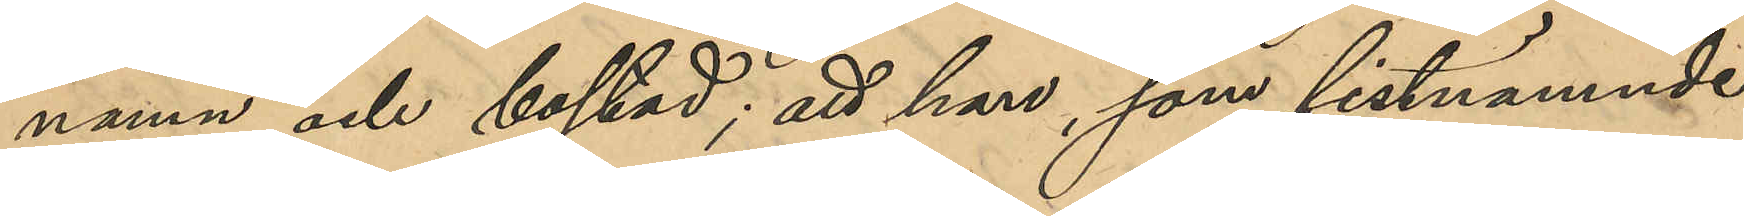namn och bostad; att han, som sistnämnde
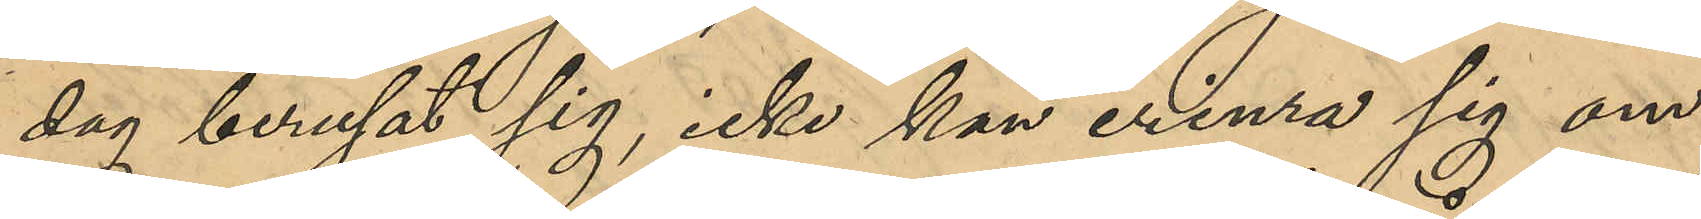dg berusat sig, icke kan erinra sig om
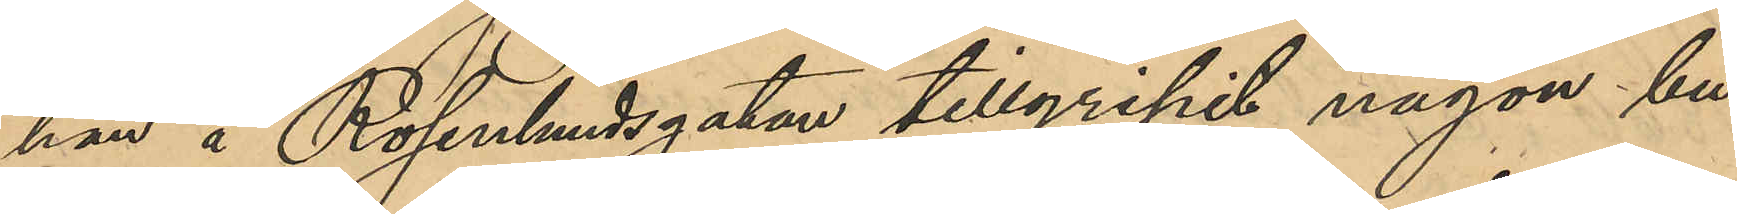han å Rosenlundsgatan tillgripit någon bu¬
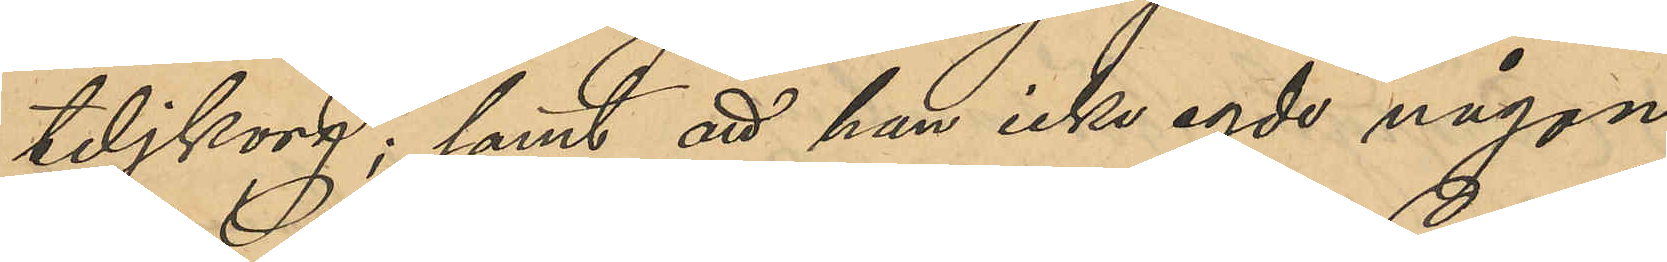teljkorg; samt att han icke egde någon
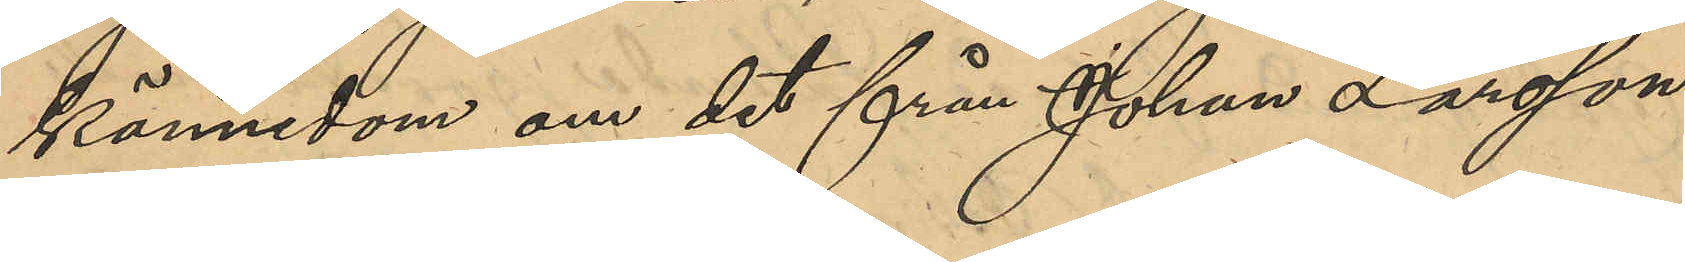kännedom om det från Johan Larsson
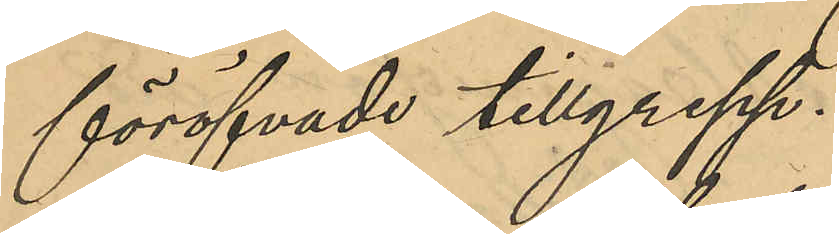föröfvade tillgrepp.
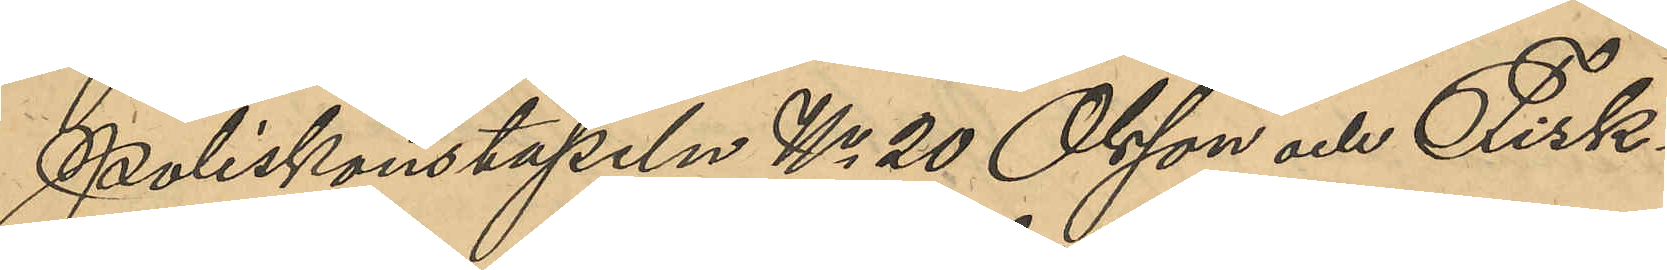Poliskonstapeln No 20 Olsson och Fisk¬
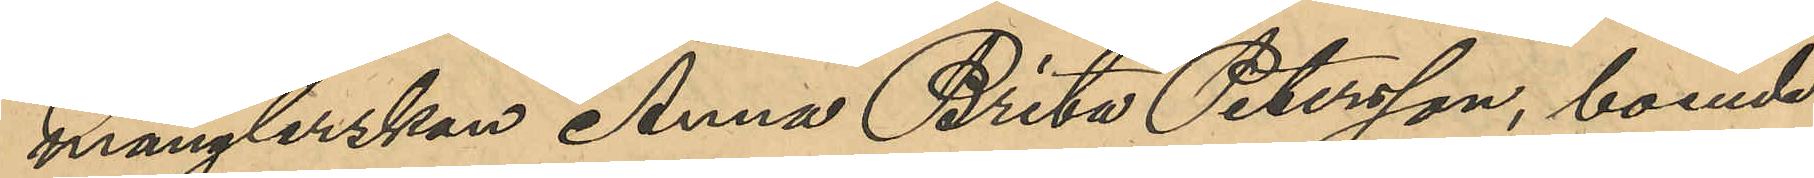månglerskan Anna Brita Petersson, boende
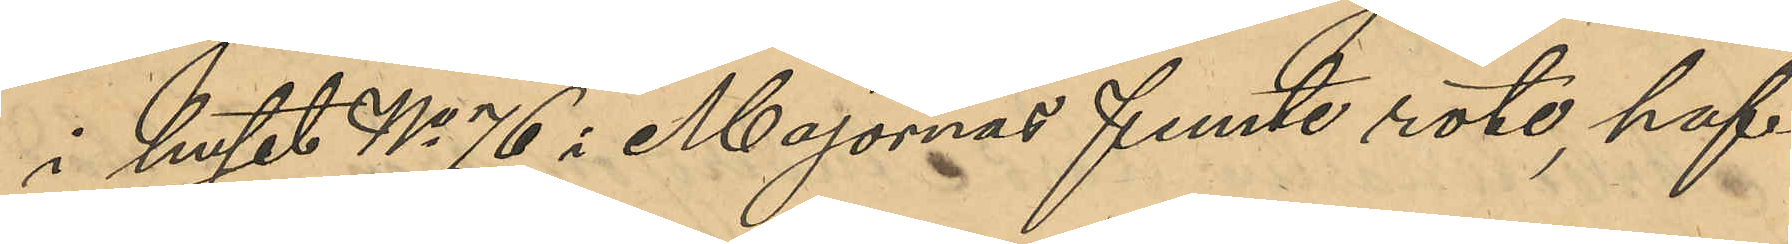i huset No 76 i Majornas femte rote, haf¬
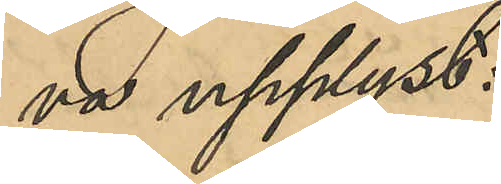va upplyst:
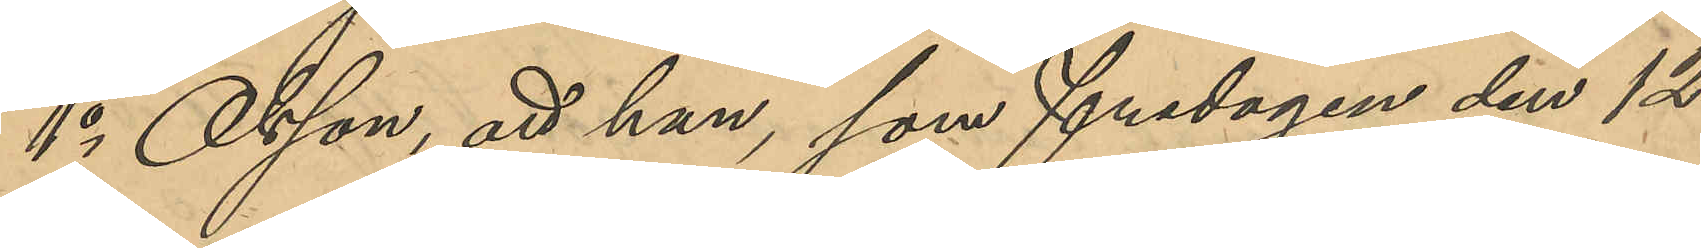1o Olsson, att han, som fredagen den 12
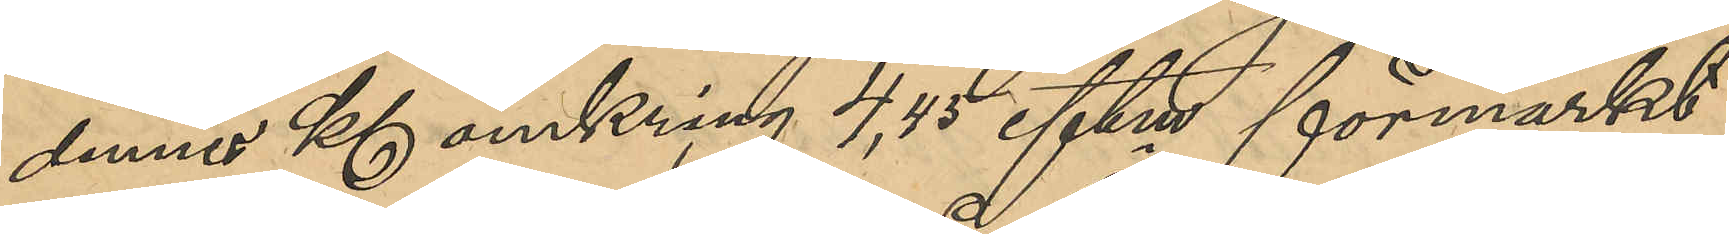dennes Kl omkring 4,45 eftm förmärkt
